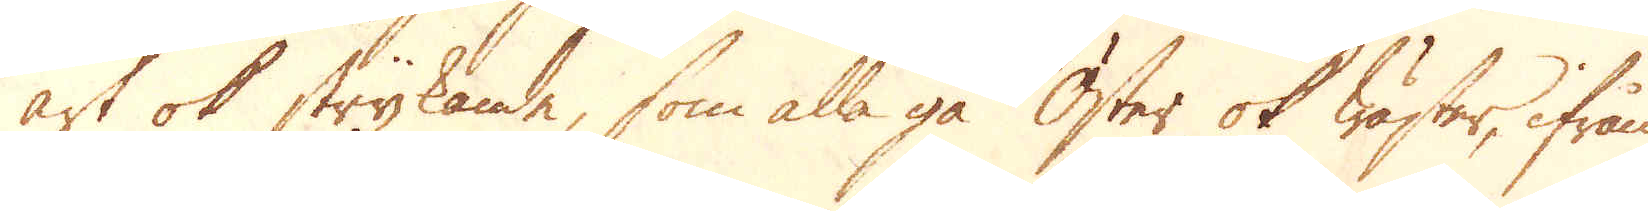art ok strykande, som alla gå Öster ok Wäster, ifrån
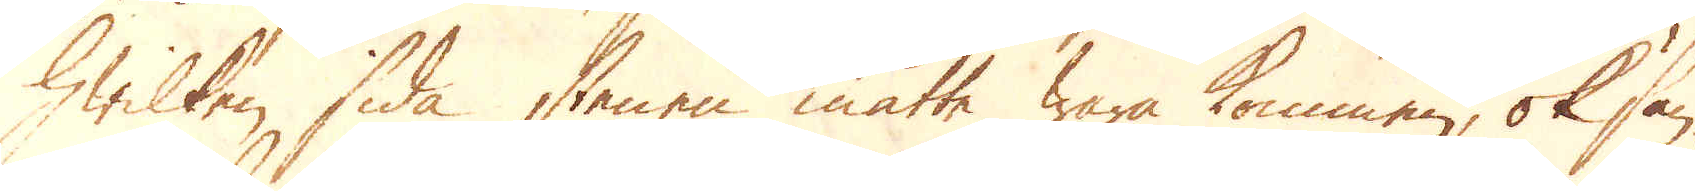hwilken sida stenen måtte wara kommen, ok sän-
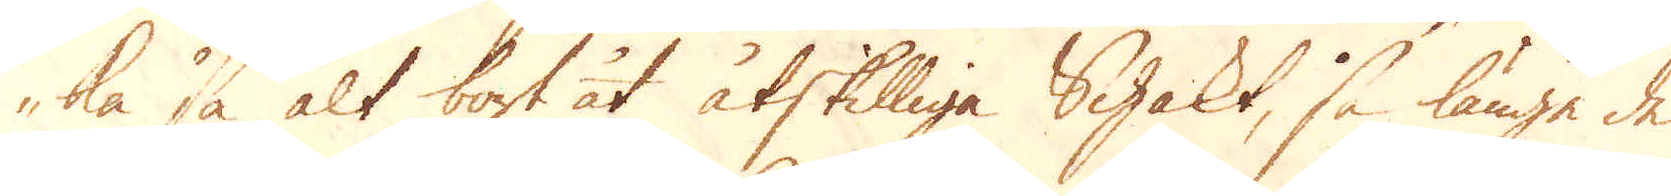ka så alt bort åt åtskilliga Schakt, så länge de
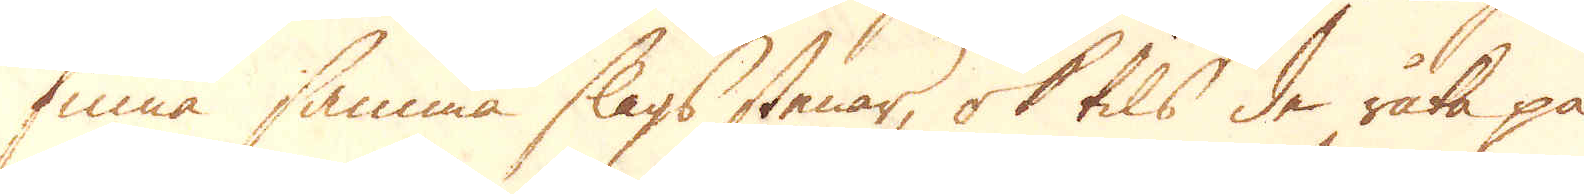finna samma slags stenar, ok tils de råka på
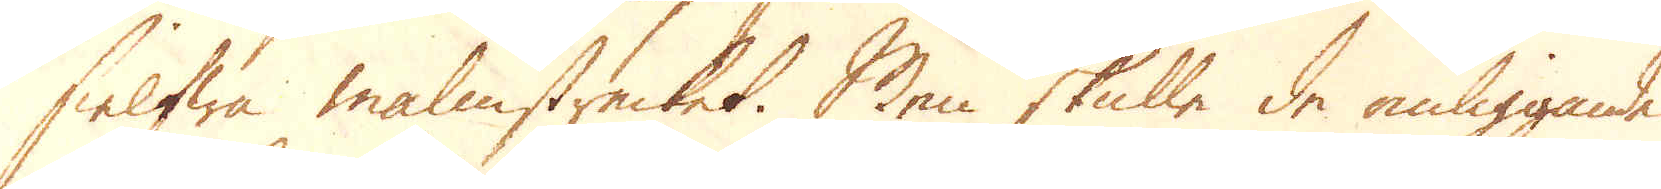sielfwa malmstrecket. Men skulle de omliggande
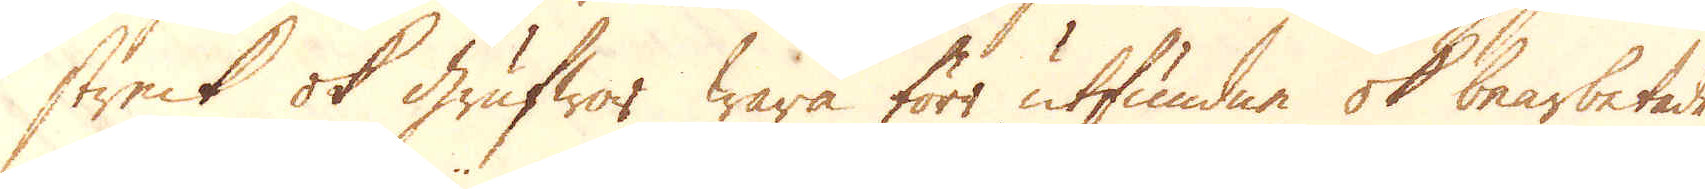streck ok grufwor wara förr utfundne ok bearbetade,
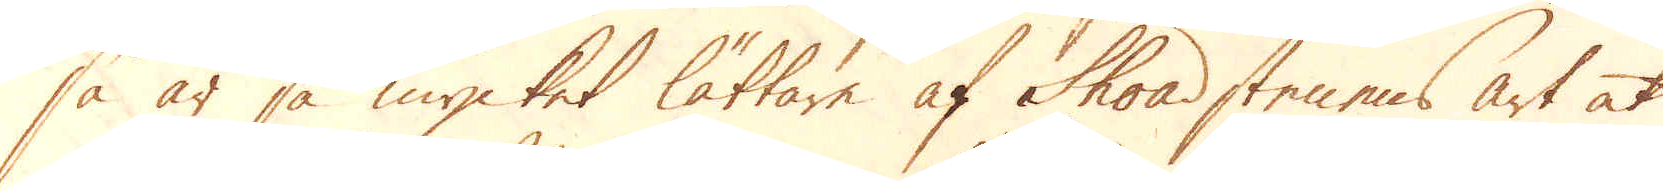så är så mycket lättare af Shoadstenens art at
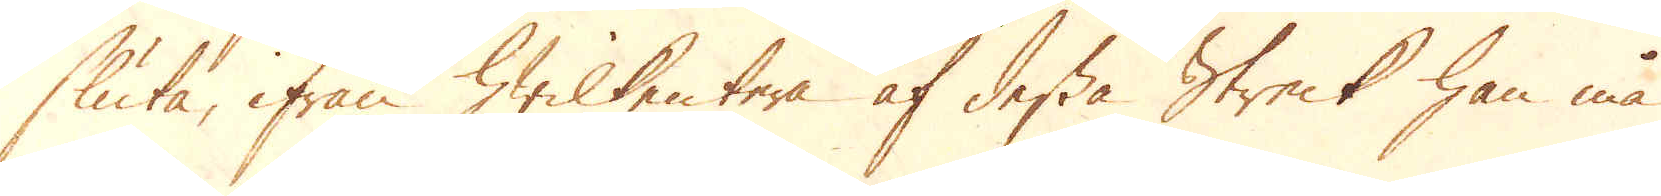sluta, ifrån hwilkentera af dessa Streck han må
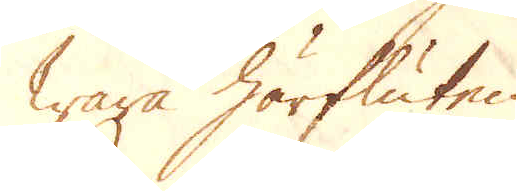wara härfluten.
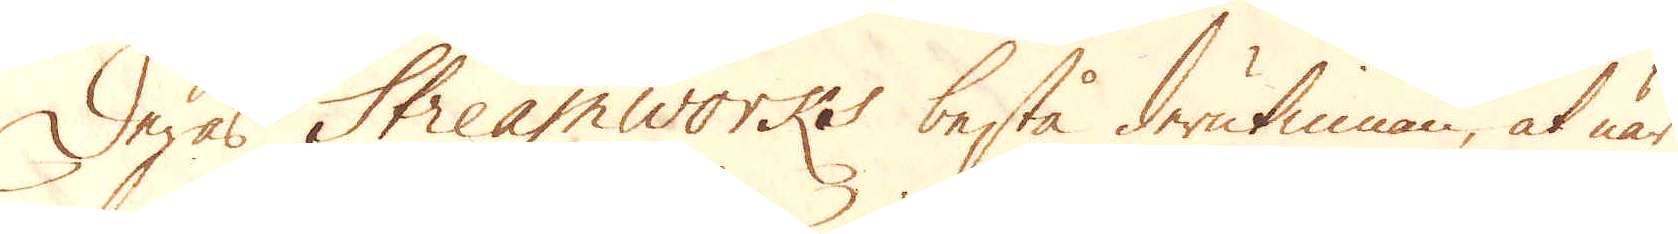Deras Streamworks bestå derutinnan, at när
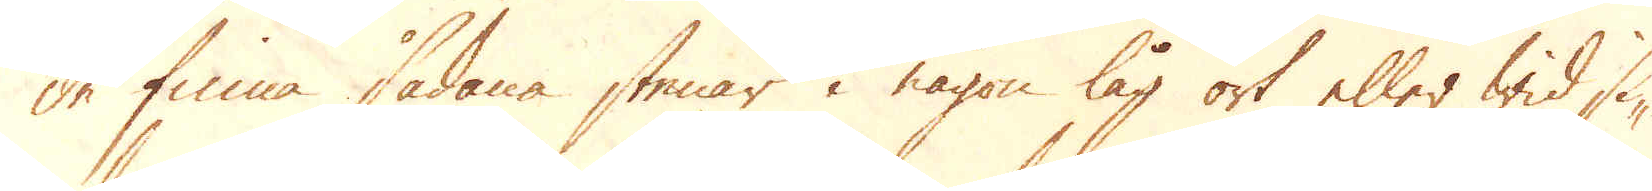de finna sådana stenar i någon låg ort eller wid si-
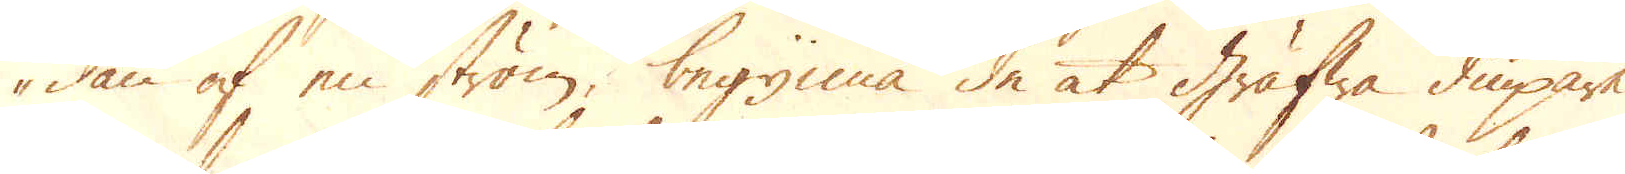dan af en ström, begynna de at Gräfwa diupare
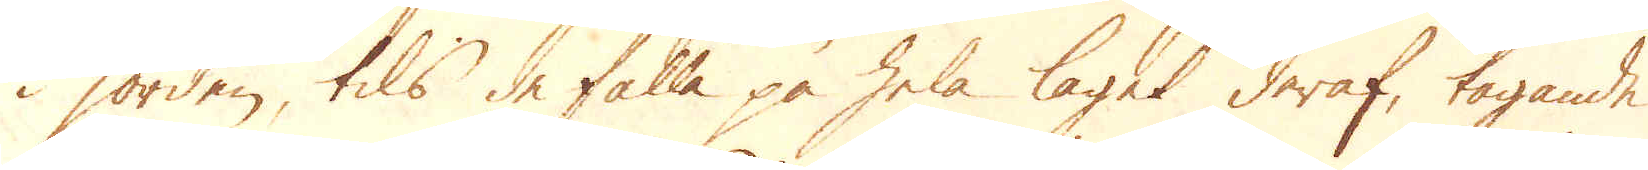i jorden, tils de falla på hela laget deraf, tagande
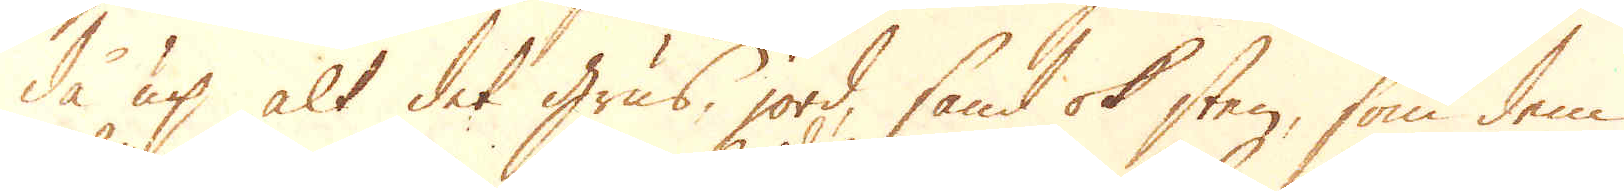då up alt det grus, jord, sand ok sten, som dem
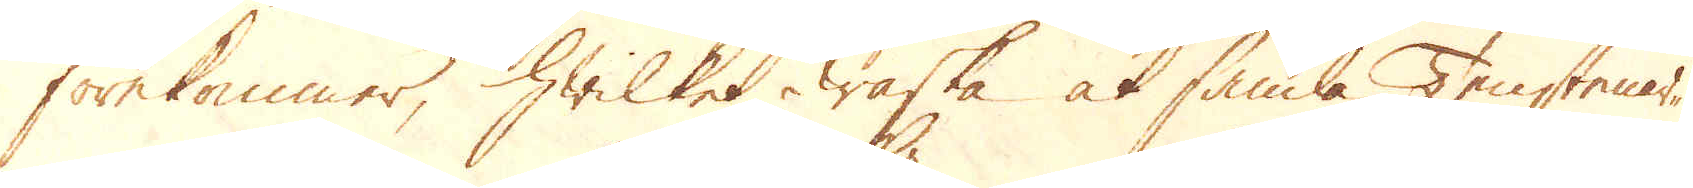förekommer, hwilket waska at samla Tenstenar-
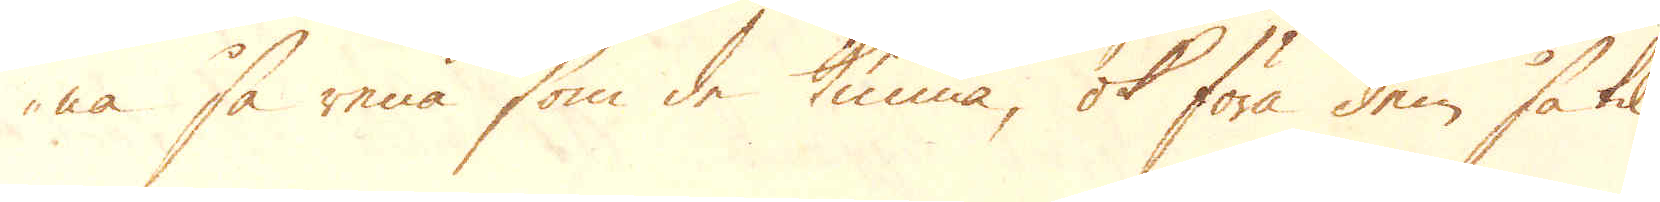na så rena som de kunna, ok föra dem så til
